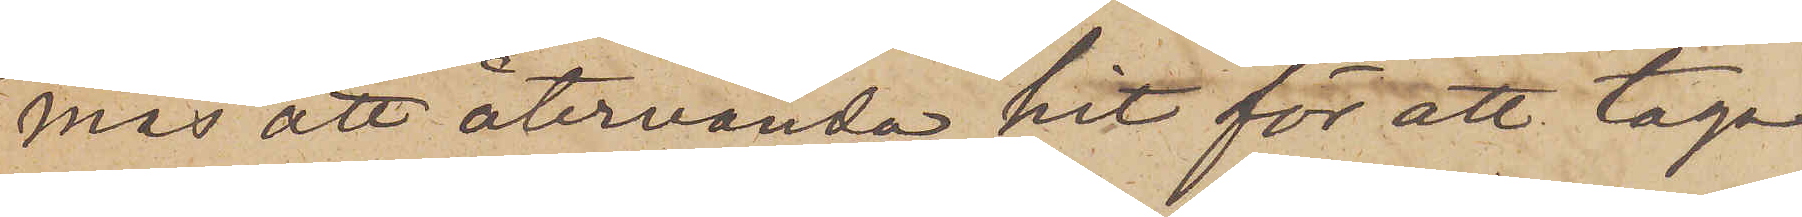mås att återvända hit för att taga
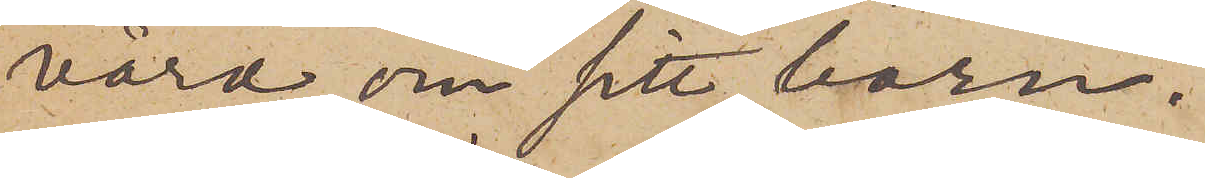vård om sitt barn.
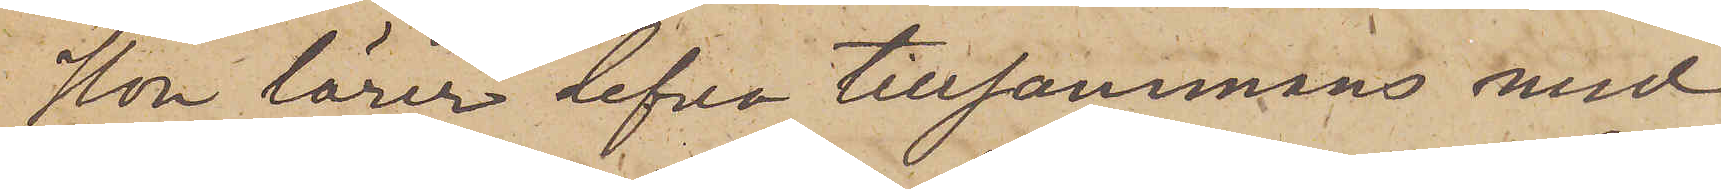Hon lärer lefva tillsammans med
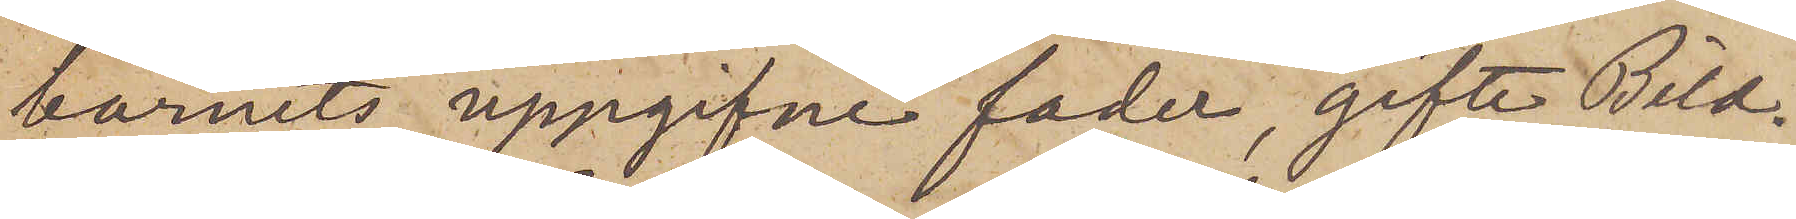barnets uppgifne fader, gifte Bild¬
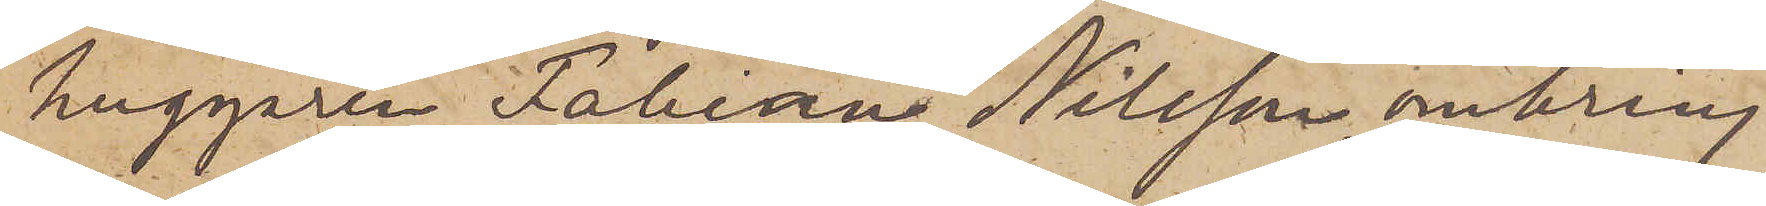huggaren Fabian Nilsson, omkring
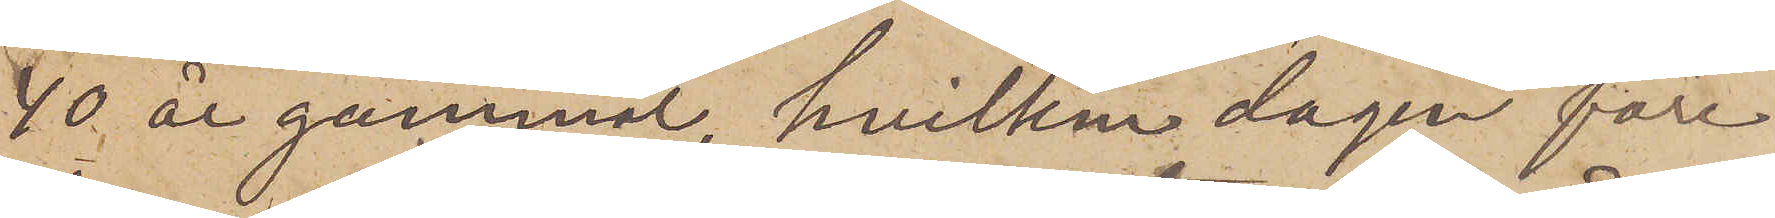40 år gammal, hvilken dagen före
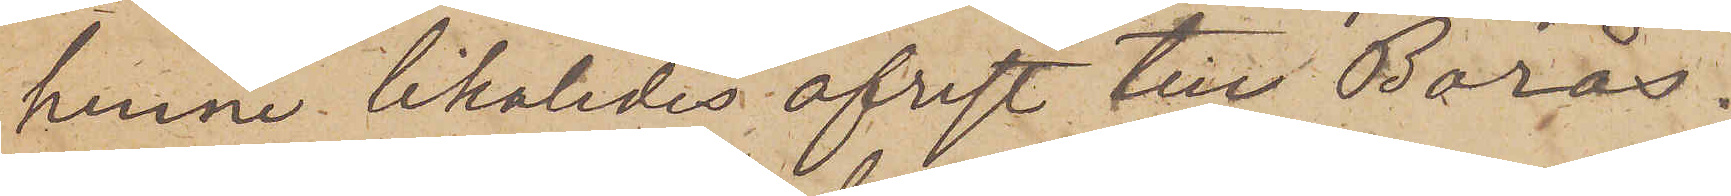henne likaledes afrest till Borås.
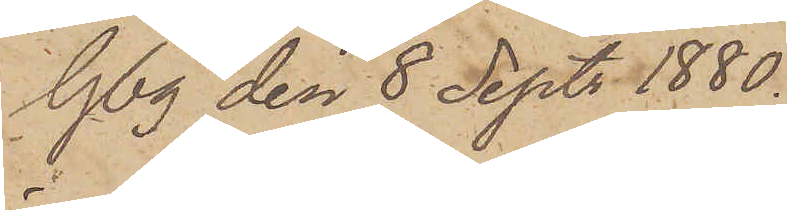Gbg den 8 Sept. 1880.
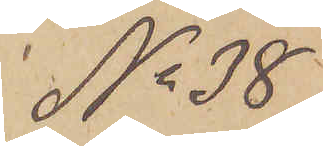No 38.
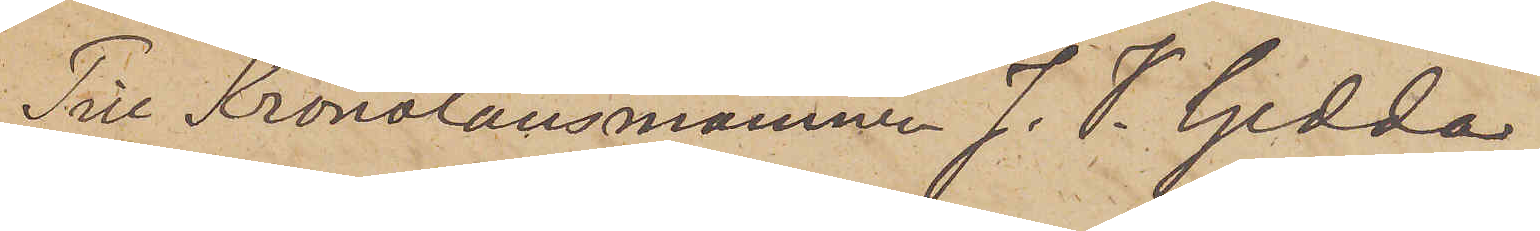Till Kronolänsmannen J. V. Gedda
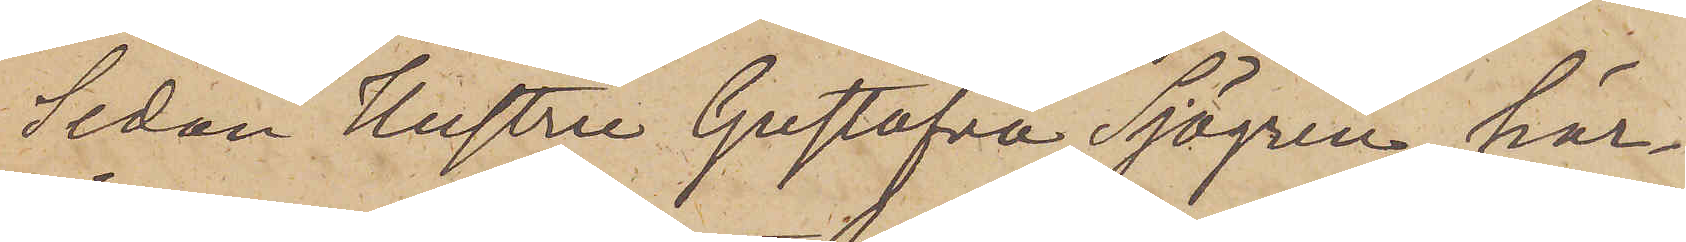Sedan hustru Gustafva Sjögren här¬
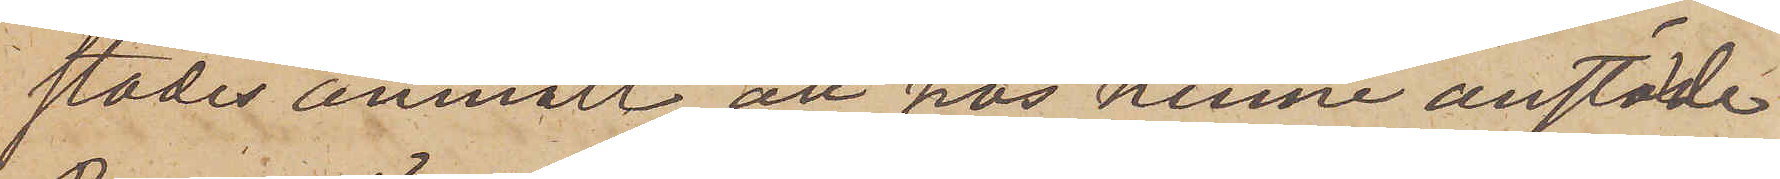städes anmält att hos henne anstälde
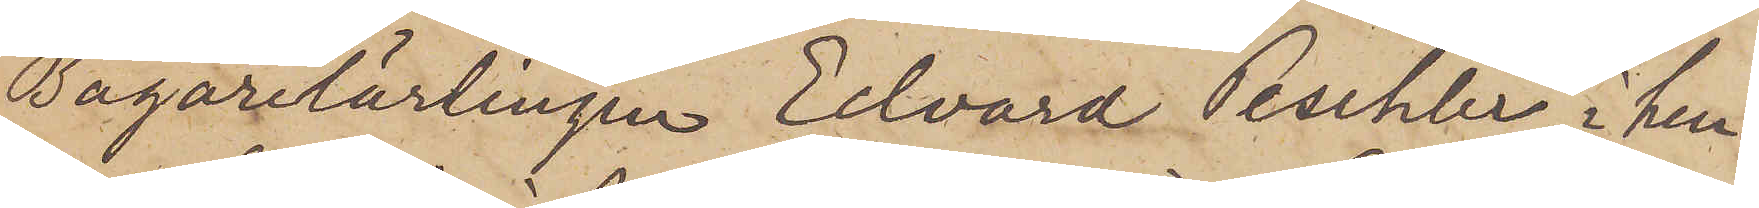Bagarelärlingen Edvard Peschler i hen¬
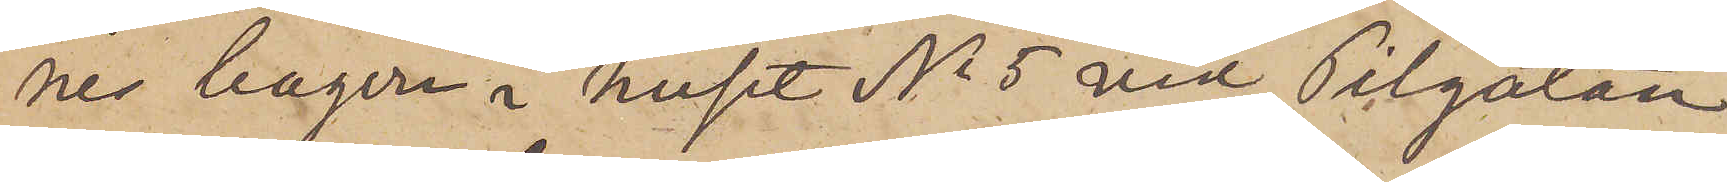nes bageri i huset No 5 vid Pilgatan
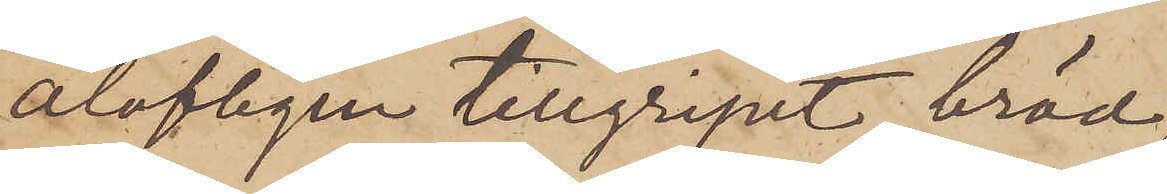olofligen tillgripit bröd,
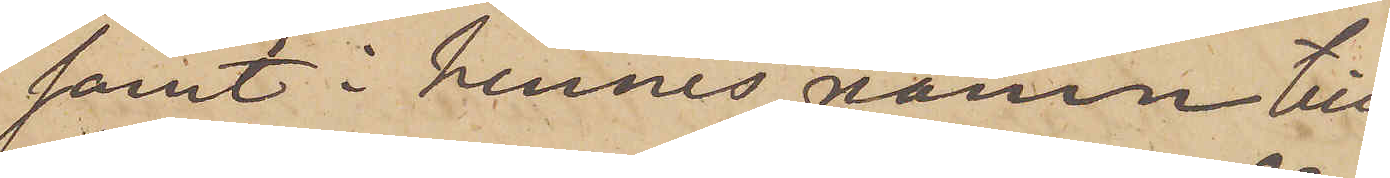samt i hennes namn till¬
